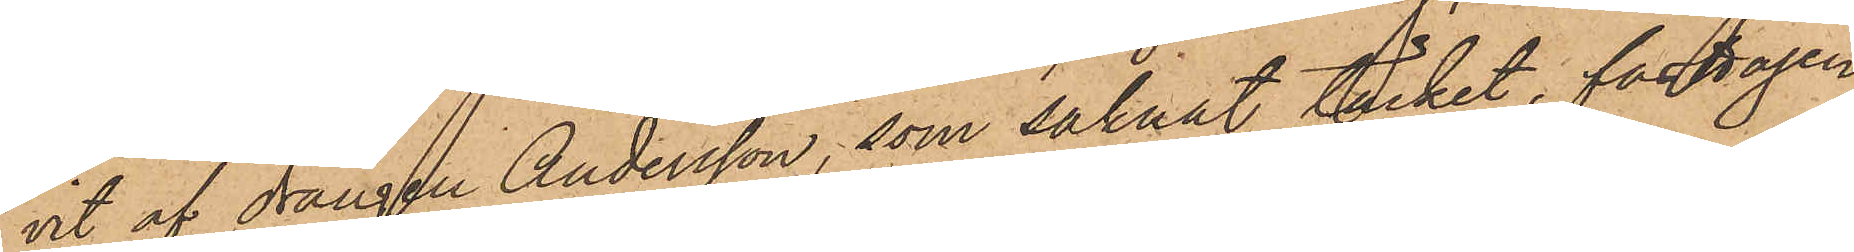vit af drängen Andersson, som saknat täcket, fasttagen
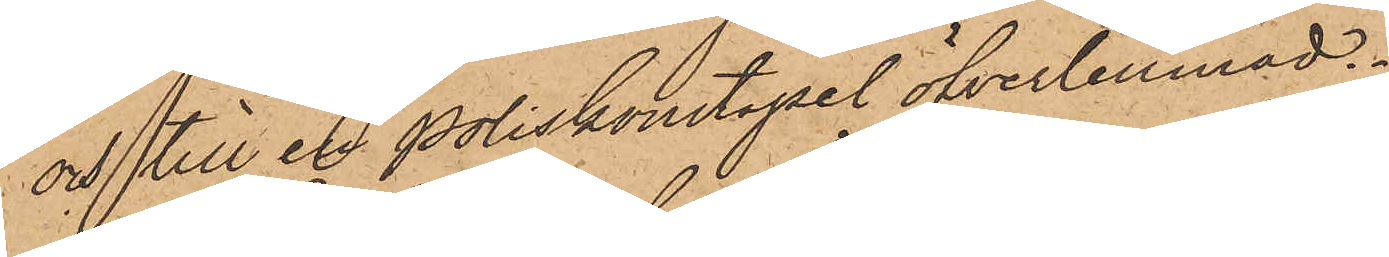och till en Poliskonstapel öfverlemnad.
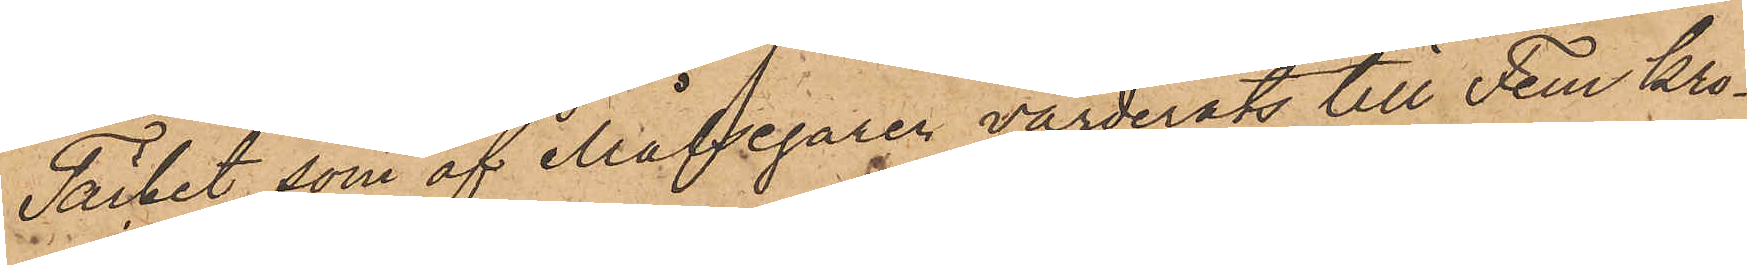Täcket, som af Målsegaren värderats till Fem Kro¬
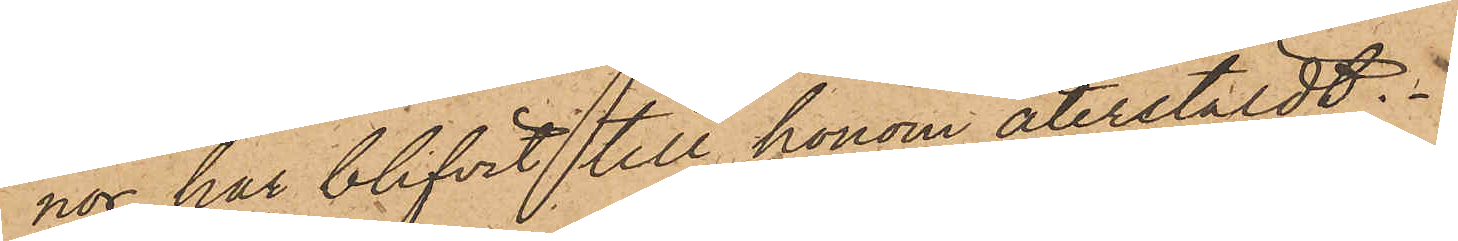nor, har blifvit till honom återstäldt.
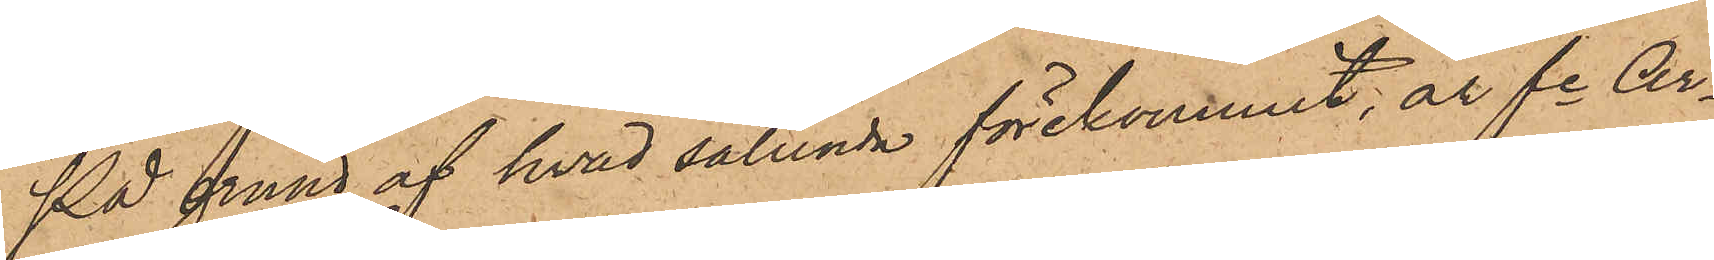På grund af hvad sålunda förekommit, är fe Ar¬
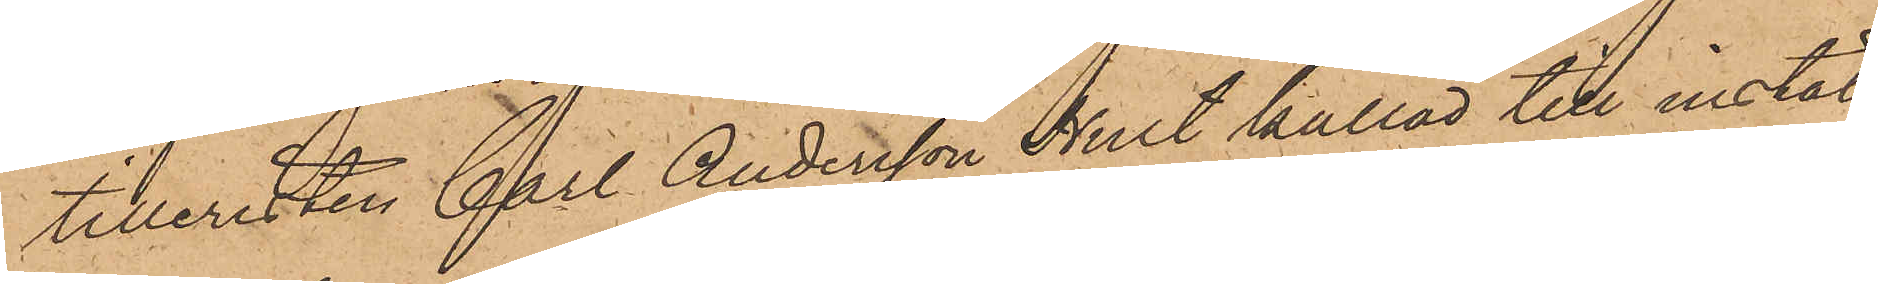tilleristen Carl Andersson Hult kallad till instäl¬
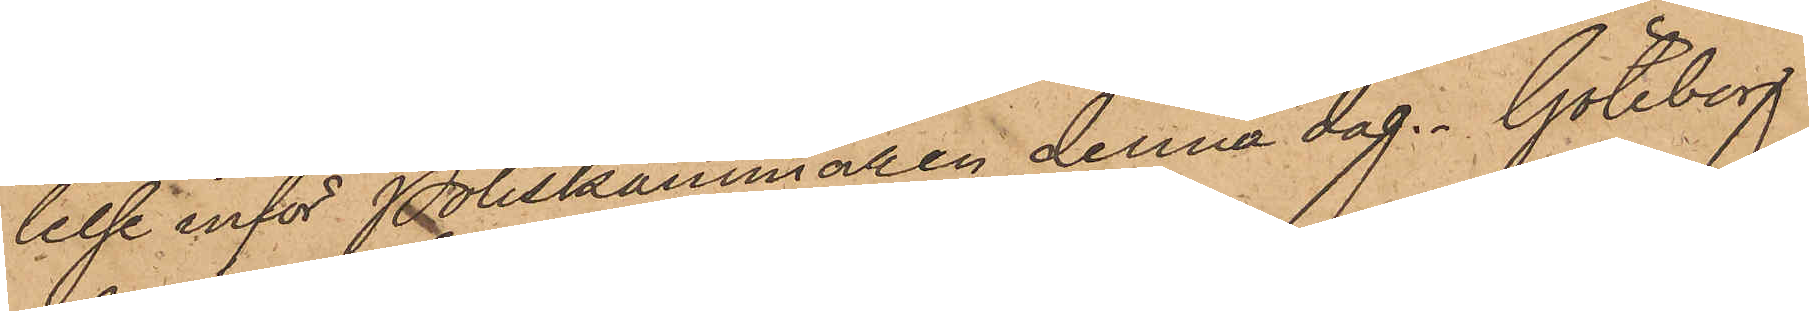lelse inför Poliskammaren denna dag. Göteborg
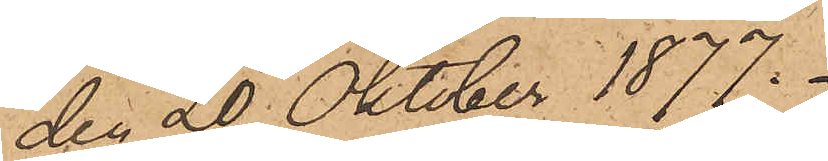den 20 Oktober 1877.
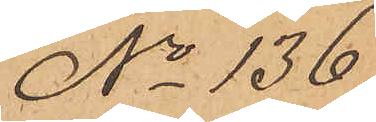No 136.
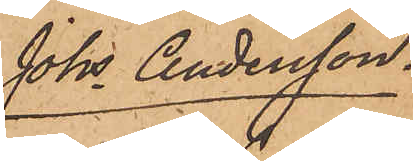Johs Andersson.
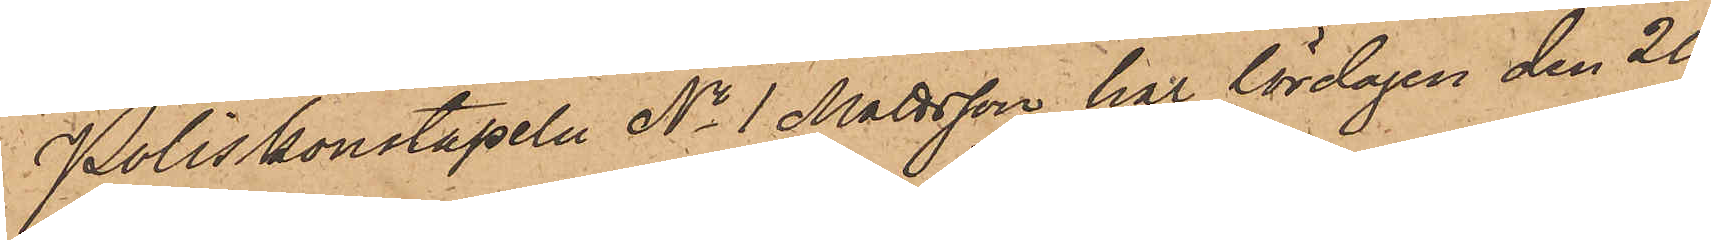Poliskonstapeln No 1 Mattsson har lördagen den 20
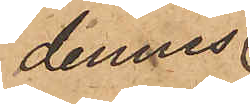dennes
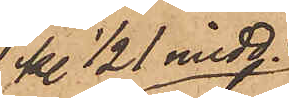kl. ½1 midd.
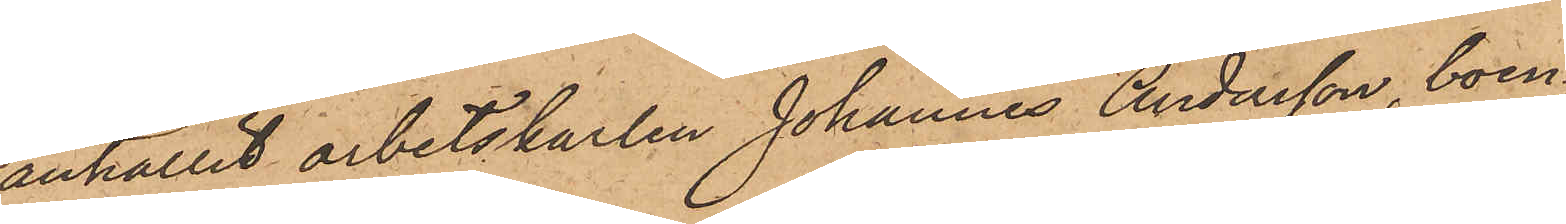anhållit arbetskarlen Johannes Andersson, boen¬
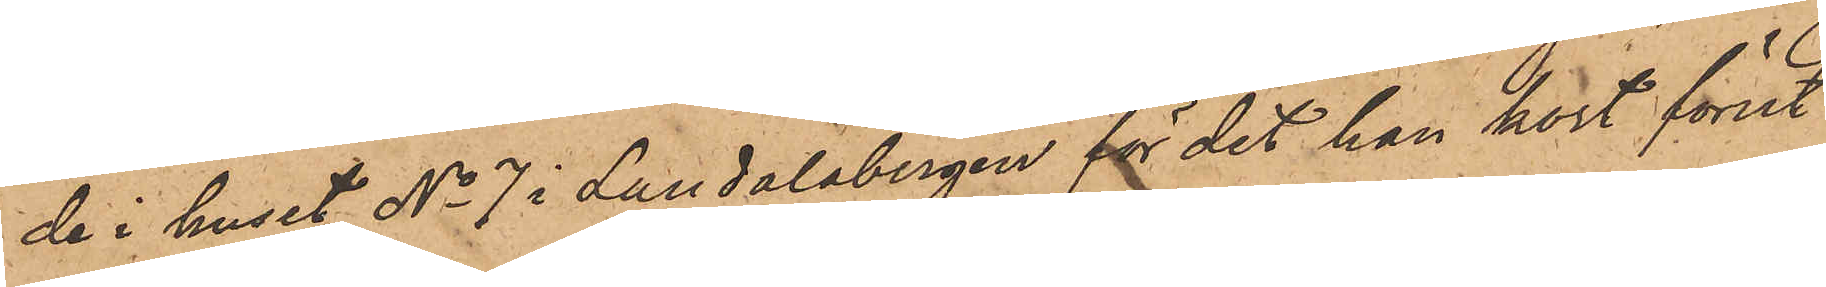de i huset No 7 i Landalabergen för det han kort förut
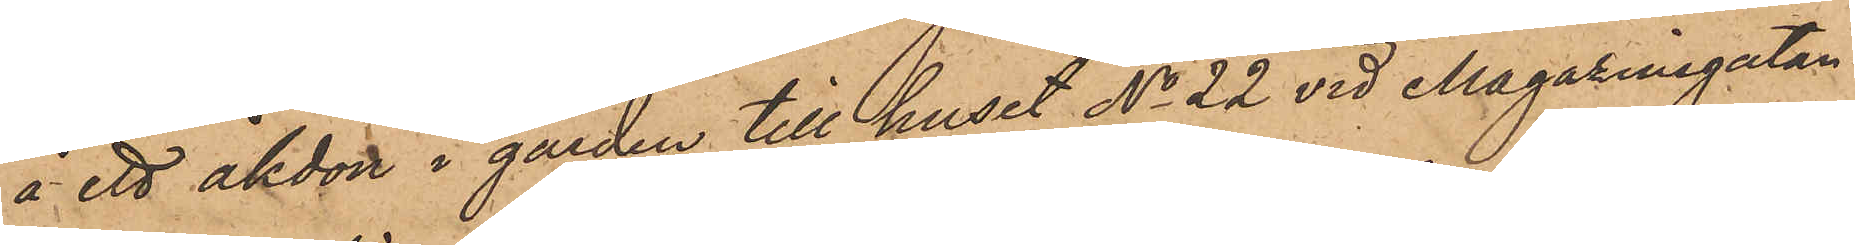å ett åkdon i gården till huset No 22 vid Magasinsgatan
